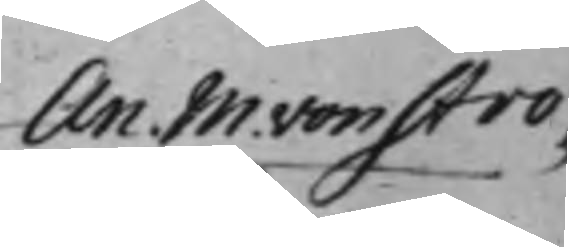An. M. von Stro¬
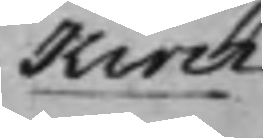kirch
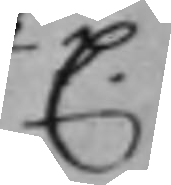C.
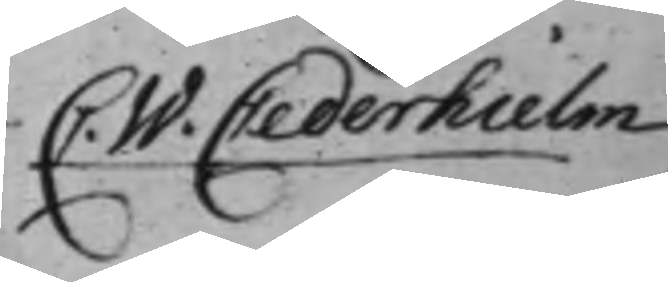C. W. Cederhielm
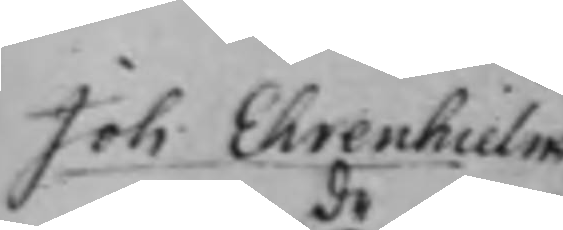Joh. Ehrenhielm
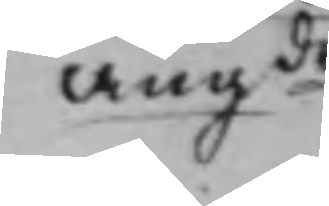angde
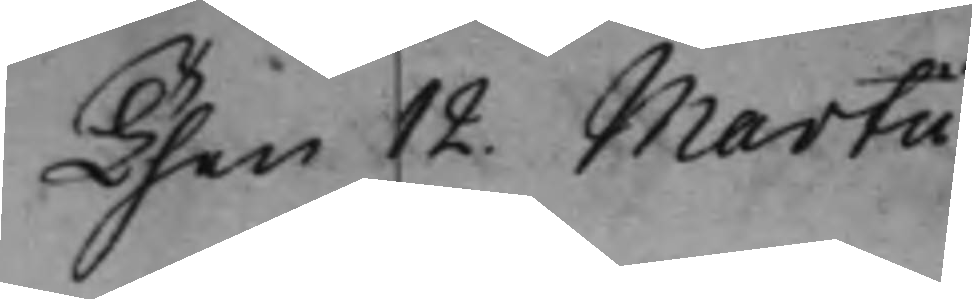Then 12. Martii.
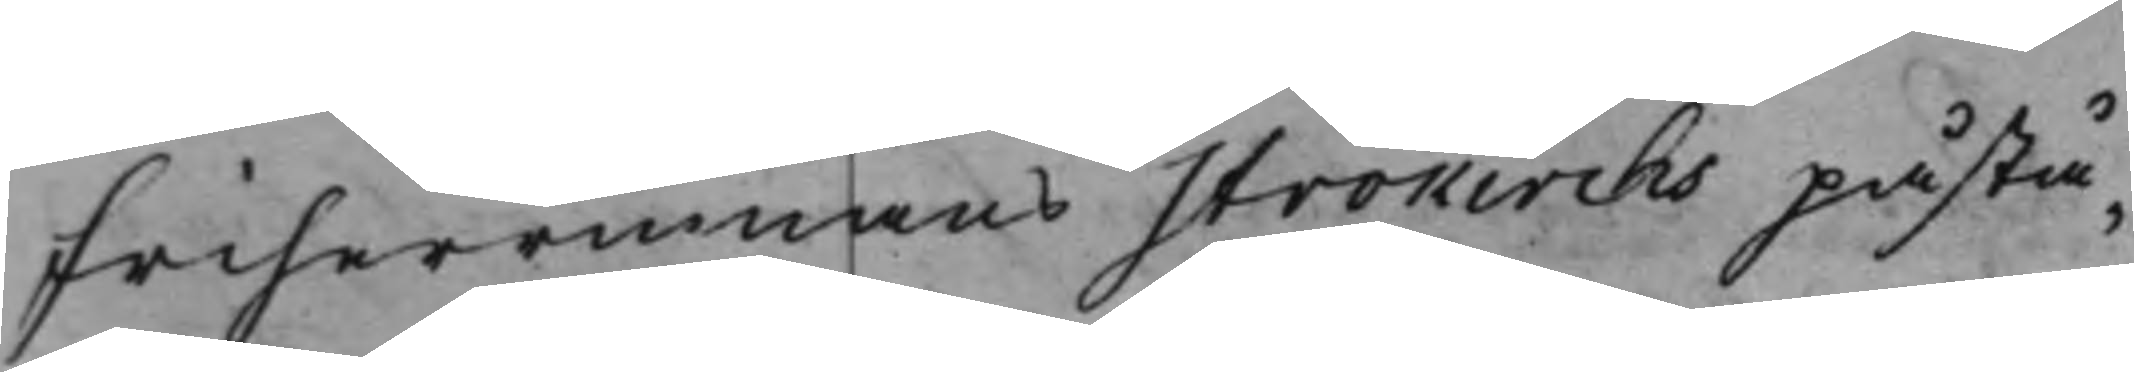Friherrinnans Strokirchs påstå¬
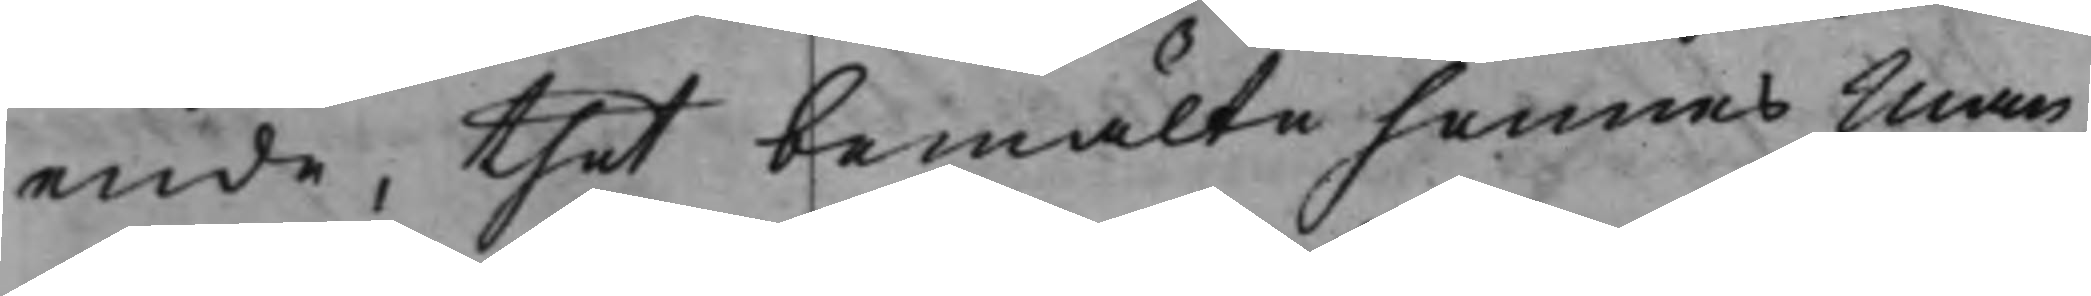ende, thet bemälte hennes Man,
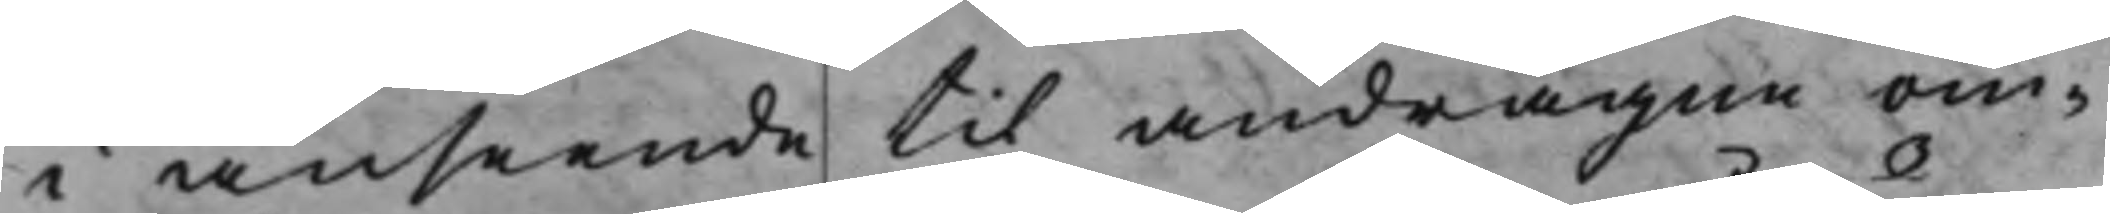i anseende til andragne om¬
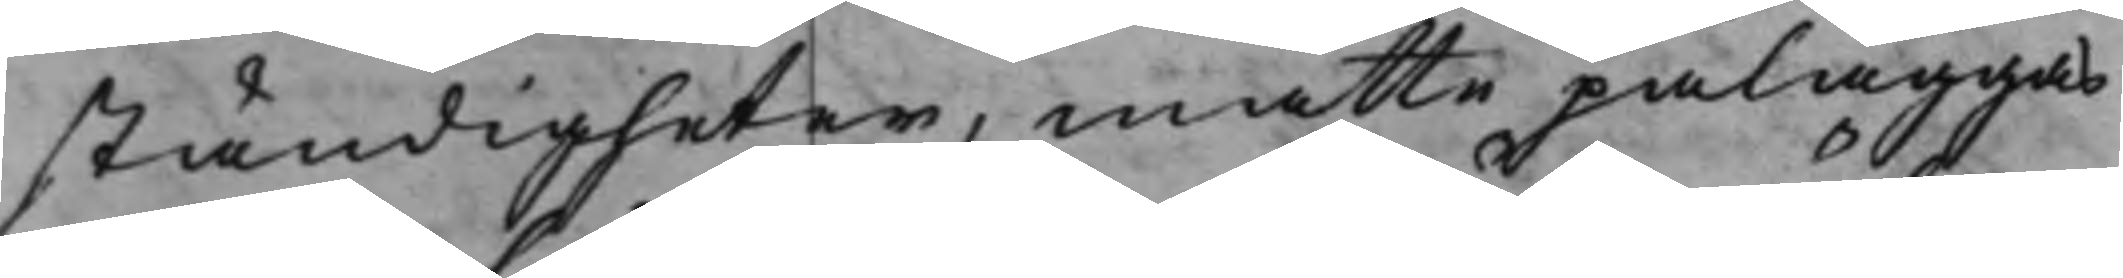ständigheter, måtte påläggas
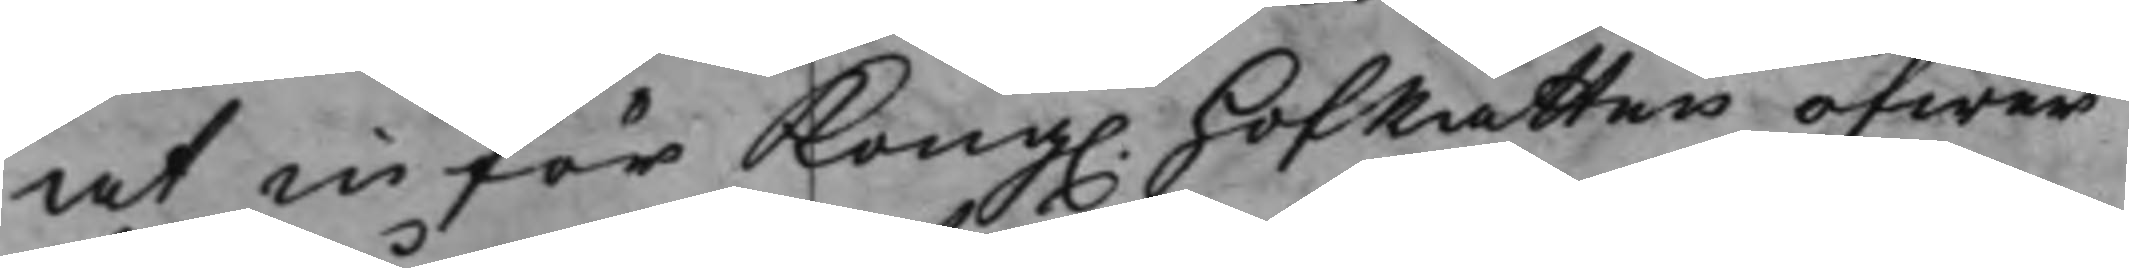at inför Kong. HofRätten öfwer
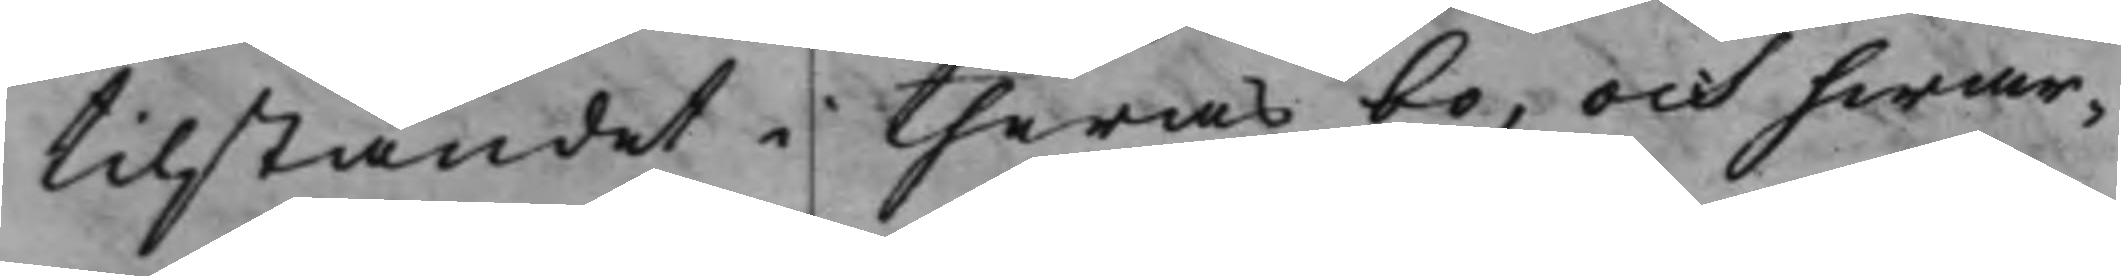tilståndet i theras bo, och hwar¬
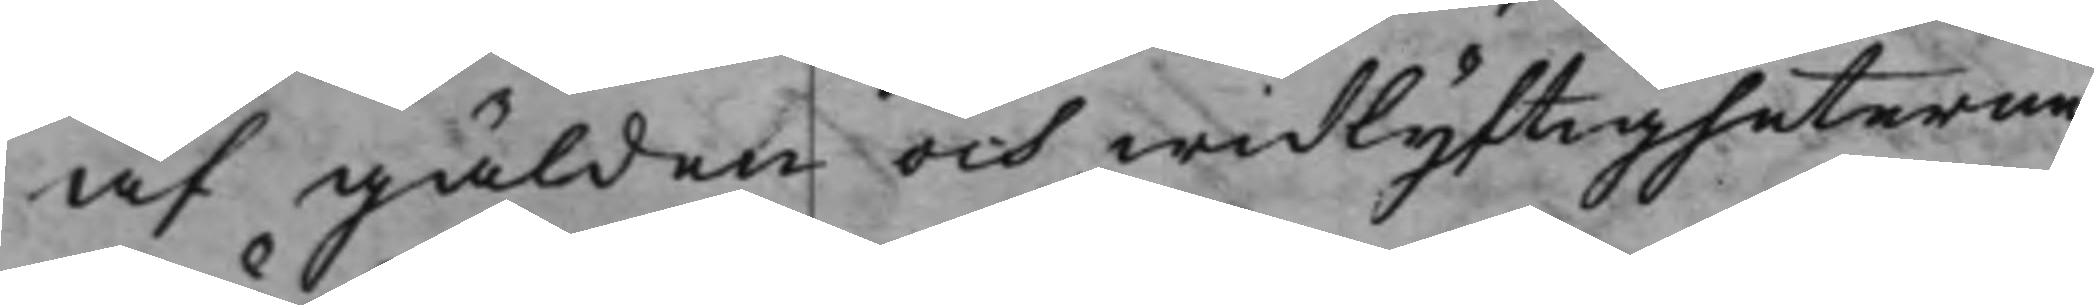af gälden och widlyftigheterne
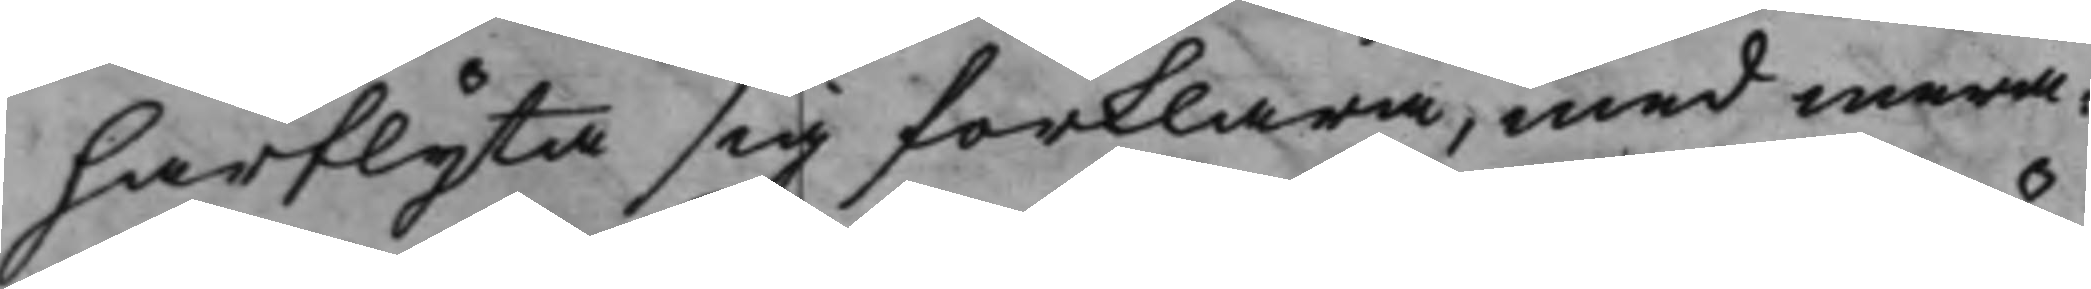härflyta sig förklara, med mera.
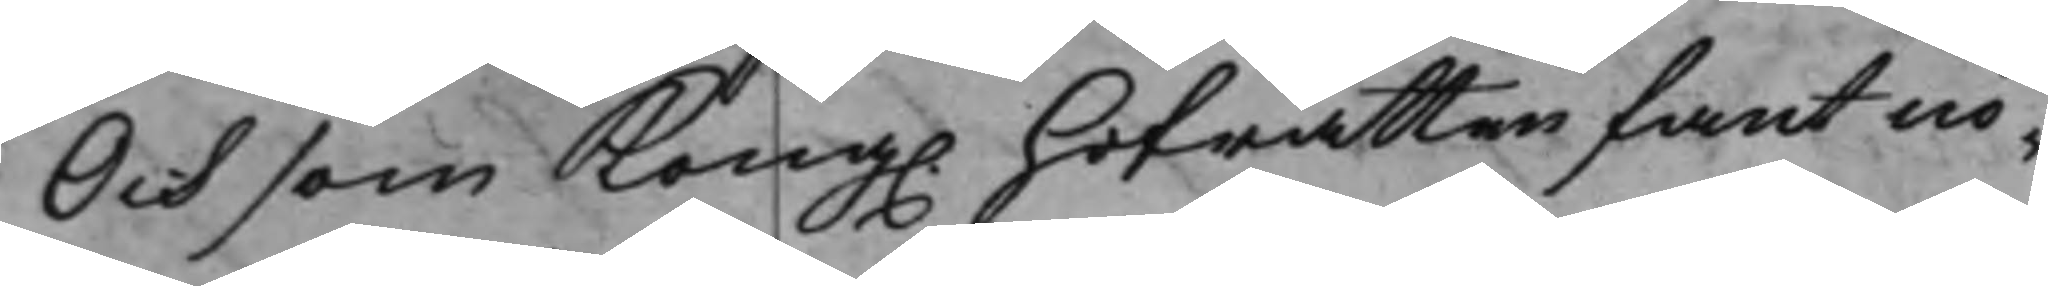Och som Kong. Hofrätten fant nö¬
